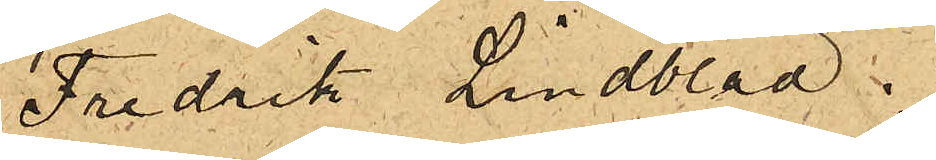Fredrik Lindblad.
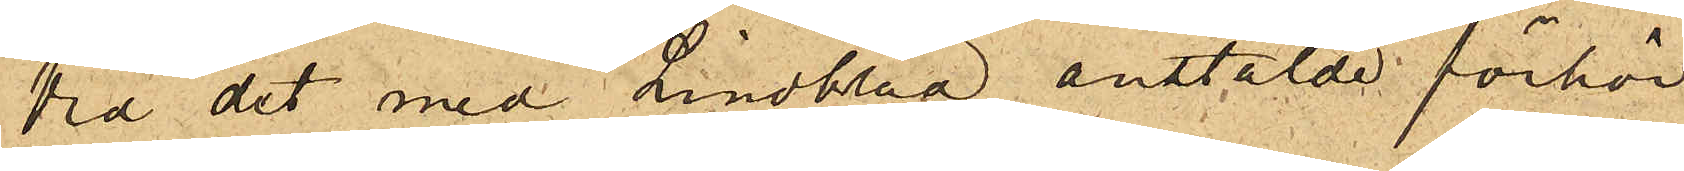Vid det med Lindblad anstälde förhör
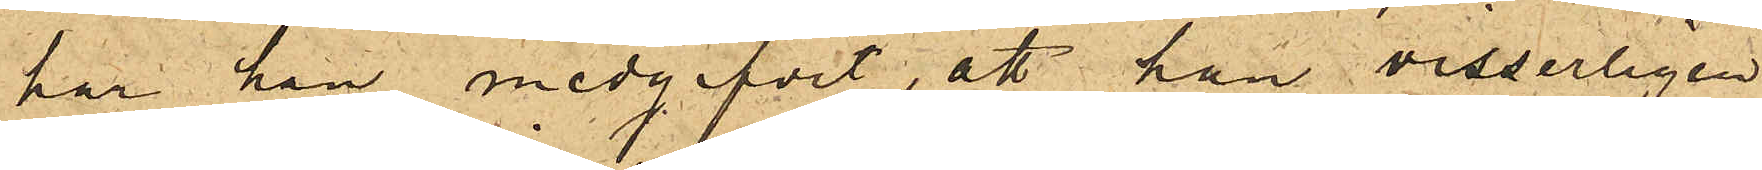har han medgifvit, att han visserligen
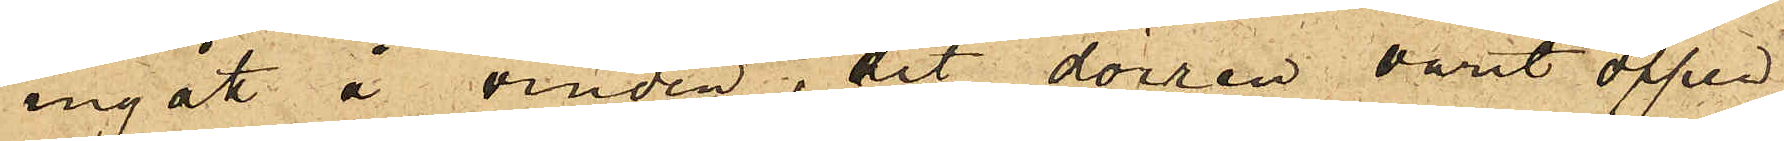ingått å vinden, dit dörren varit öppen,
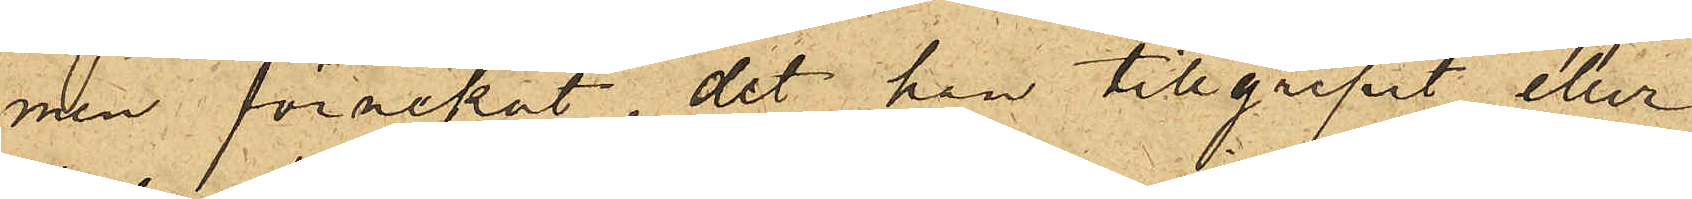men förnekat, det han tillgripit eller
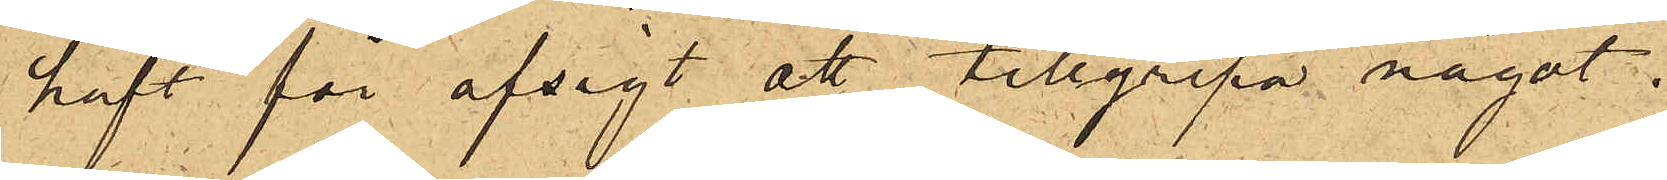haft för afsigt att tillgripa något.
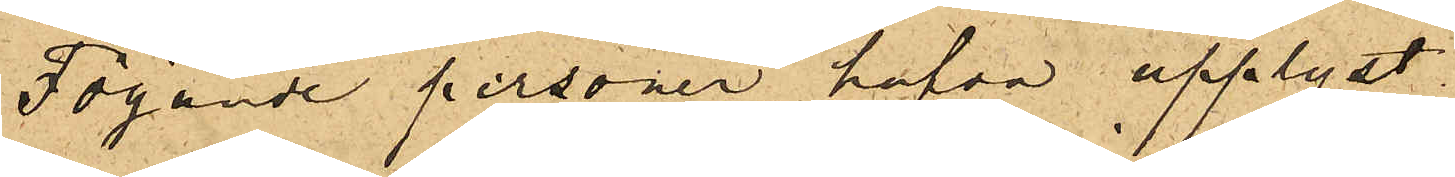Följande personer hafva upplyst
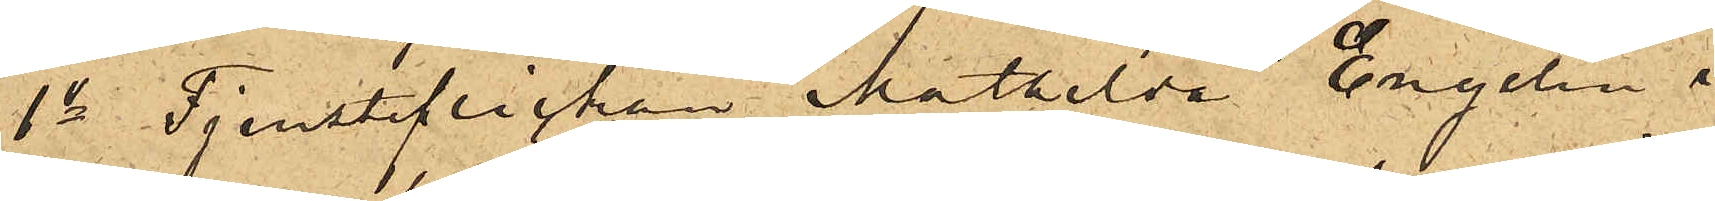1o Tjensteflickan Mathilda Engelin i
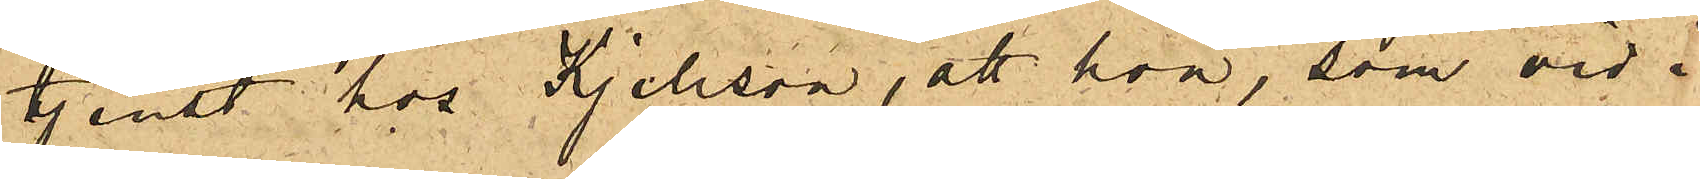tjenst hos Kjellson, att hon, som vid i¬
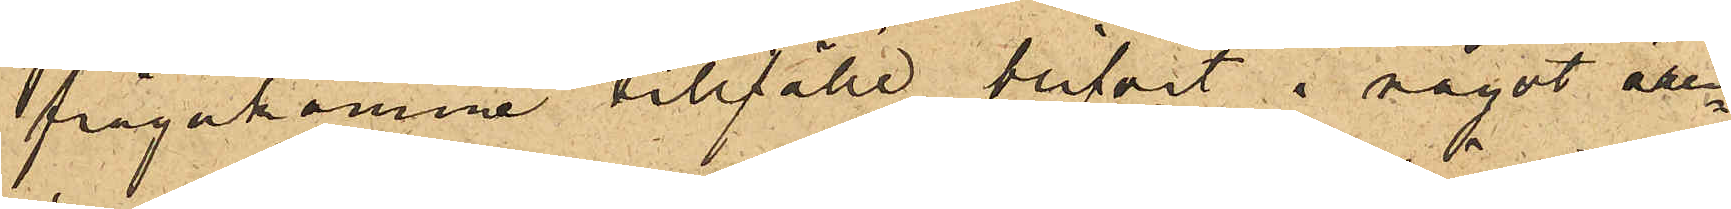frågakomne tillfälle blifvit i något ären¬
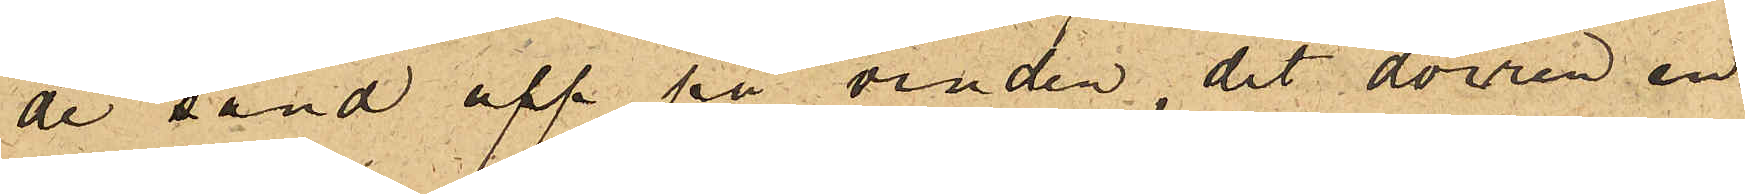de sänd upp på vinden, dit dörren en
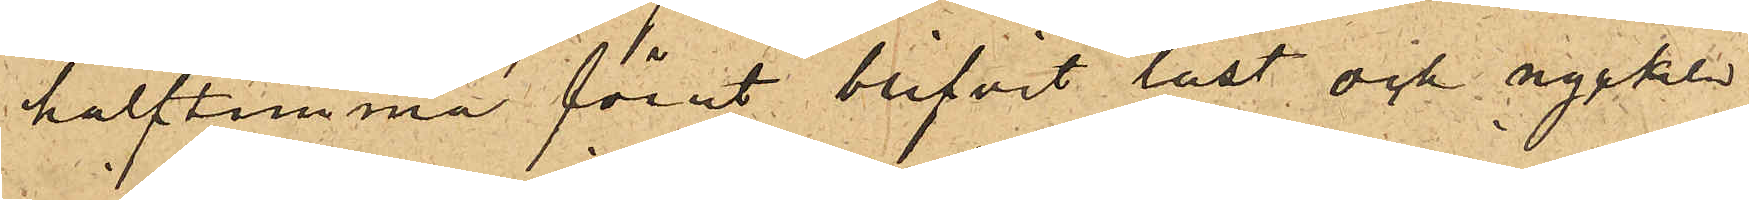halftimma förut blifvit låst och nyckeln
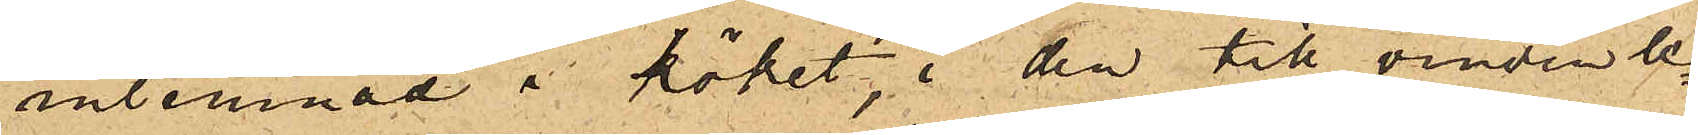inlemnad i köket, i den till vinden le¬
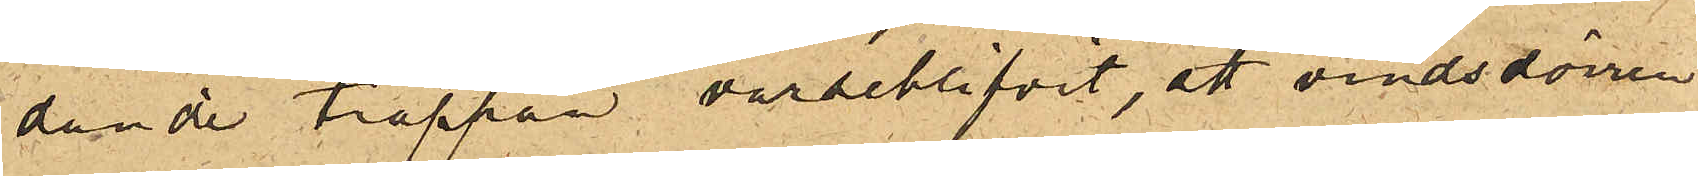dande trappan varseblifvit, att vindsdörren
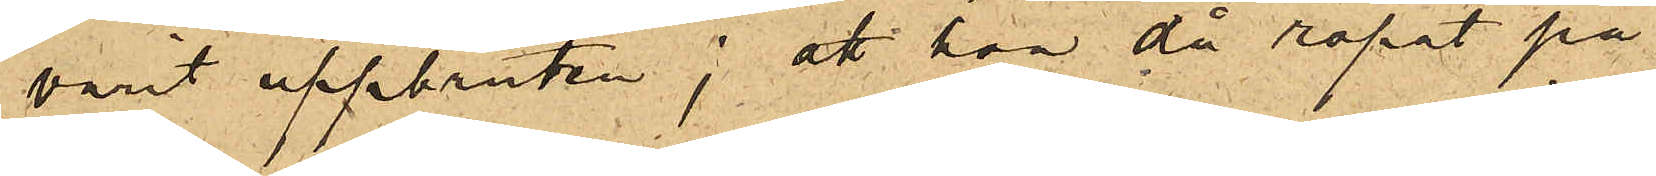varit uppbruten; att hon då ropat på
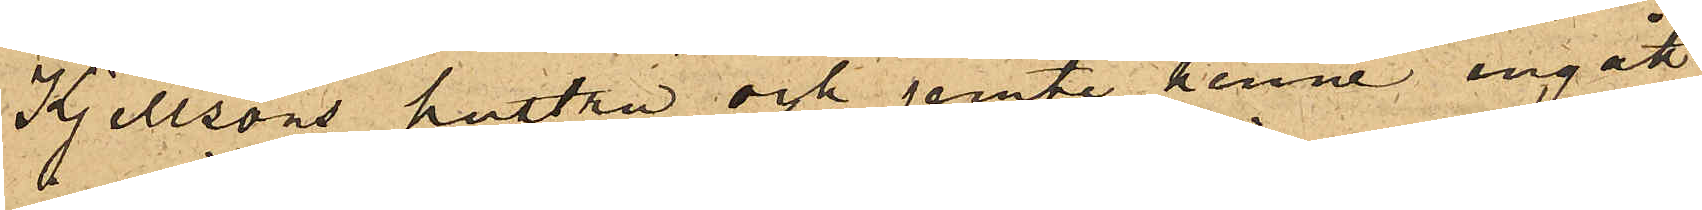Kjellsons hustru och jemte henne ingått
